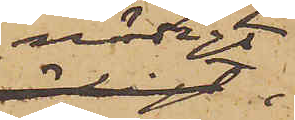nödigt,
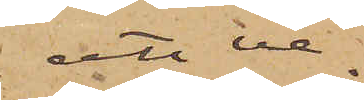att ve¬
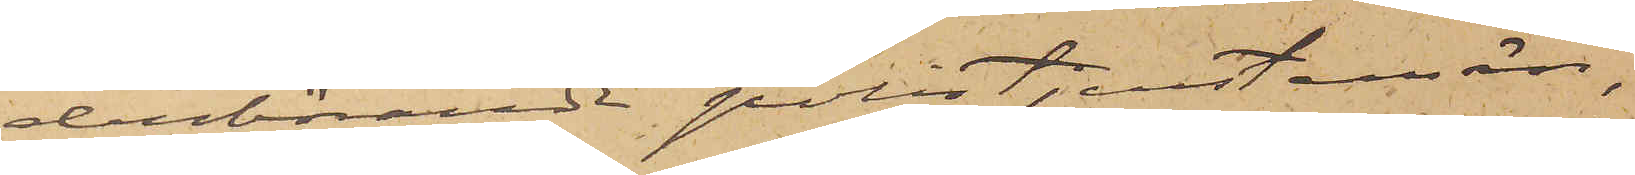derbörande polistjenstemän,
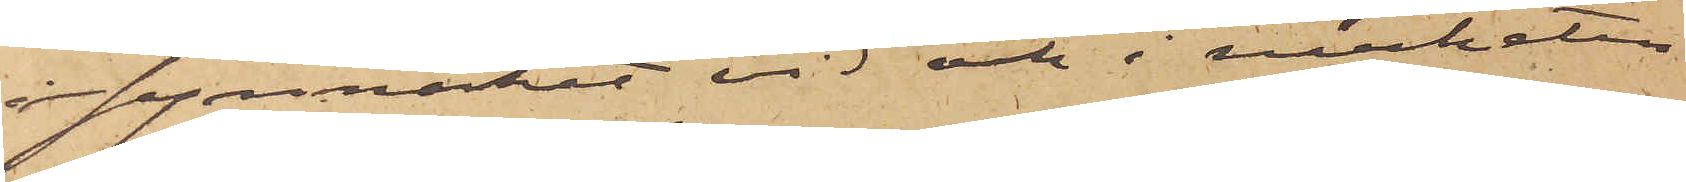i synnerhet vid och i närheten
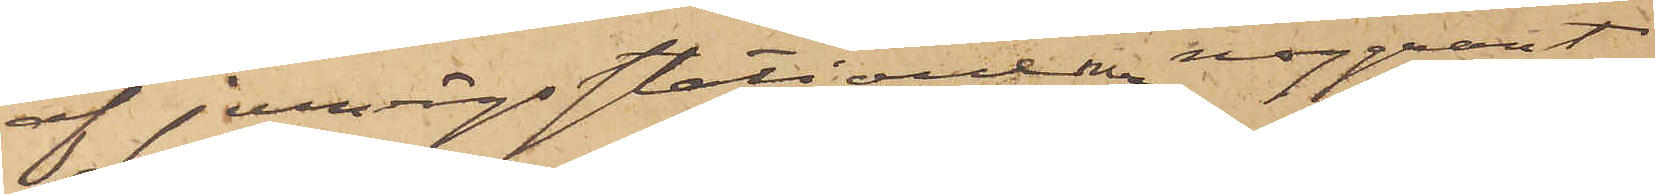af jernvägsstationerna noggrant
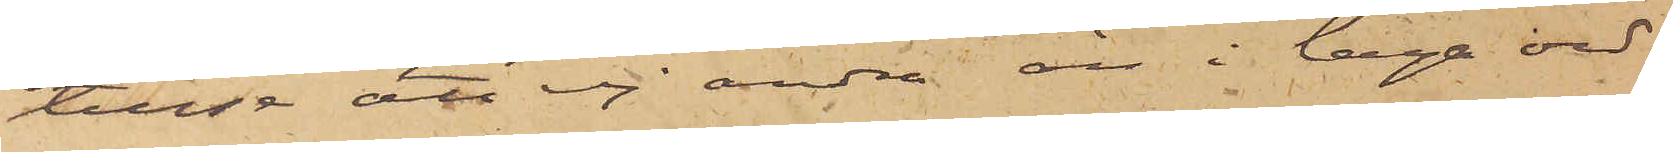tillse att ej andra än i laga ord¬
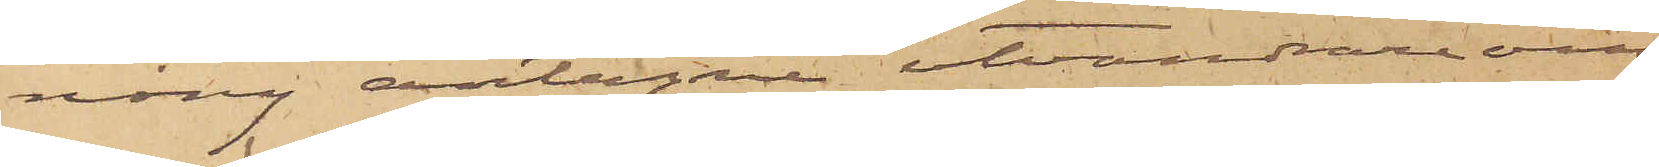ning antagne utvandrareom¬
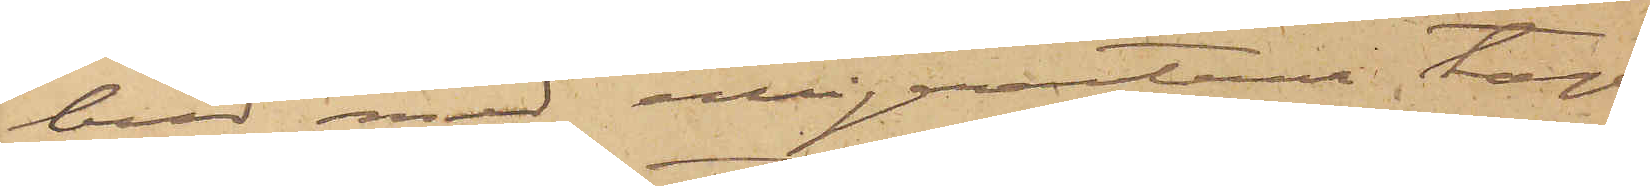bud med emigranterne taga
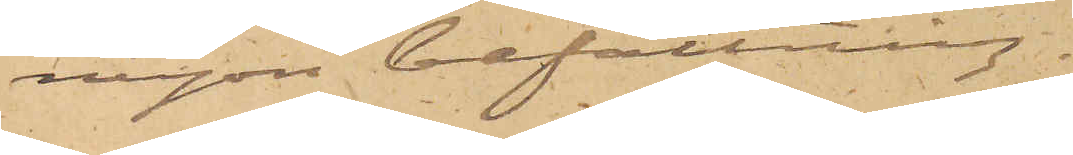någon befattning.
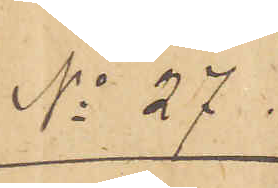No 27.
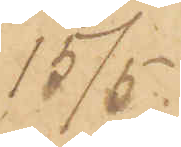15/5.
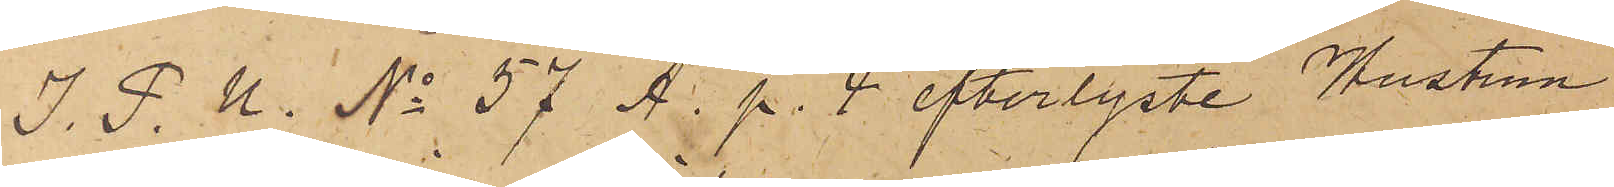I. P. U. No 57 A. p. 4 efterlyste Hustrun
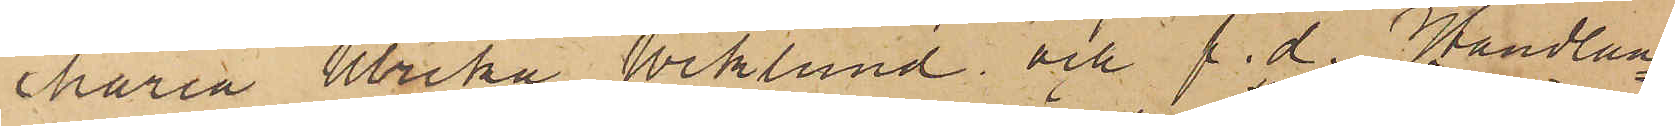Maria Ulrika Wiklund och f. d. Handlan¬
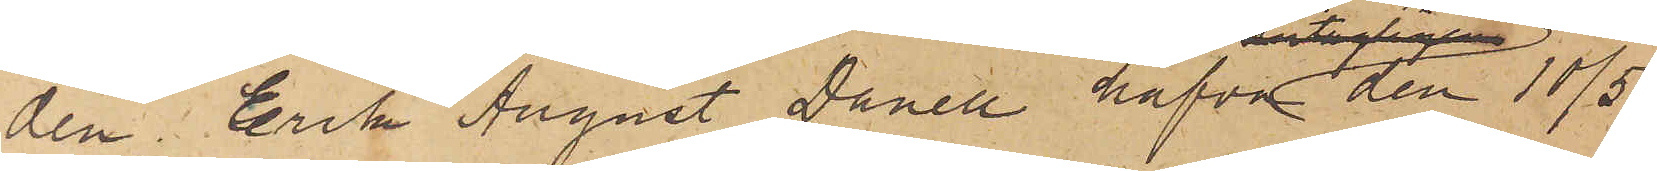den Erik August Danell hafva den 10/5
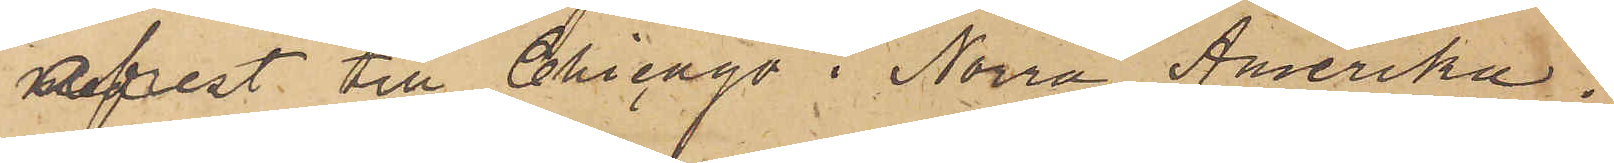afrest till Chicago i Norra Amerika.
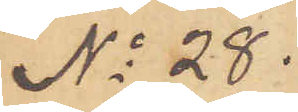No 28.
